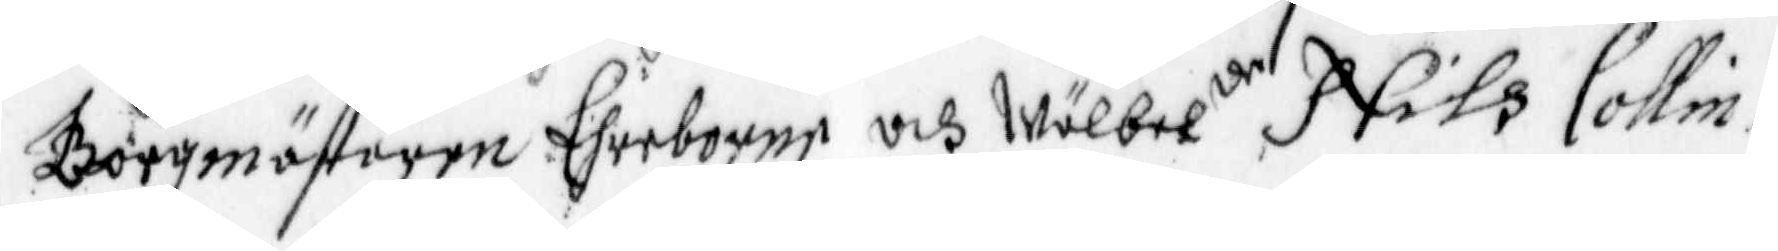Borgmästaren Ehreborne och Wälbetde Nils Collin
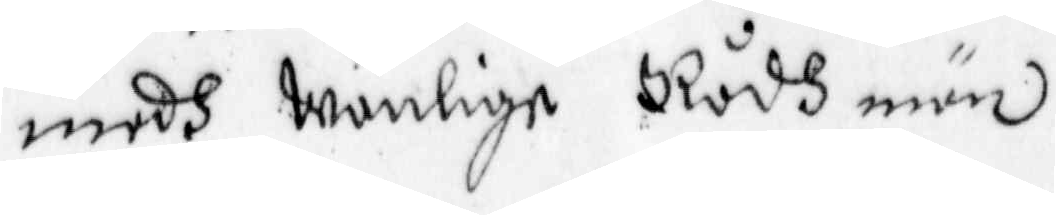medh wanlige Rådh män
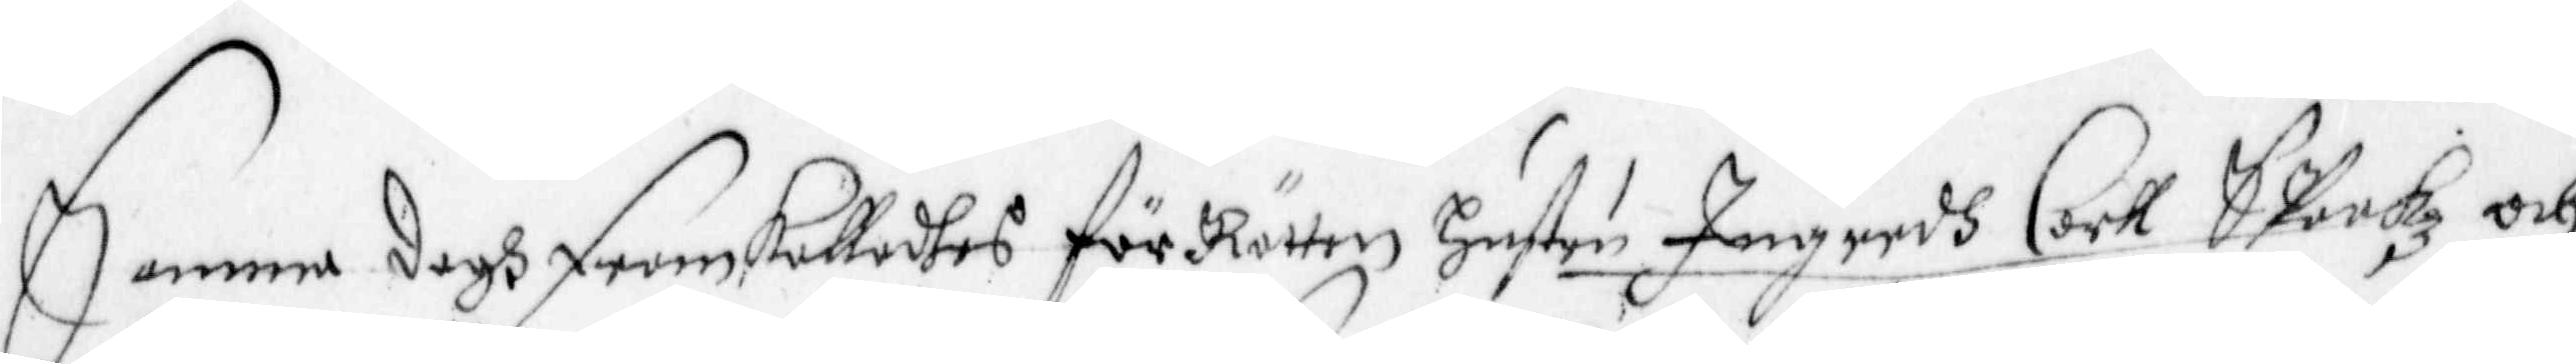Samma dagh framkallades för Rätten Hustru Ingredh Carll Staakz och
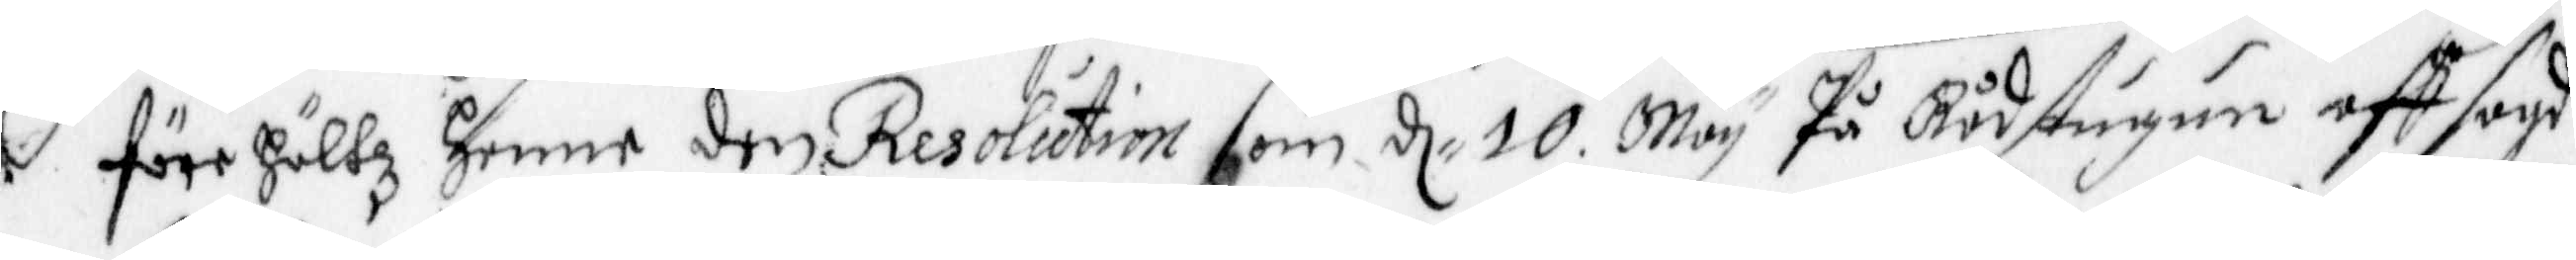förehöltz henne den Resolution som d 10 May på Rådstugun aff sagd
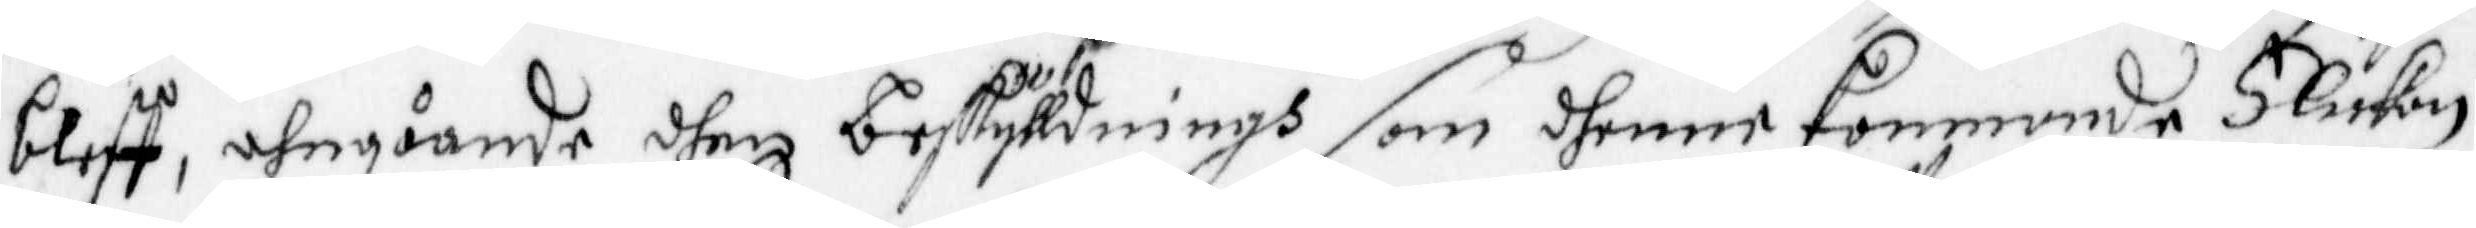bleff, angående dhen beskylldningh som dhenne kommande Flickan
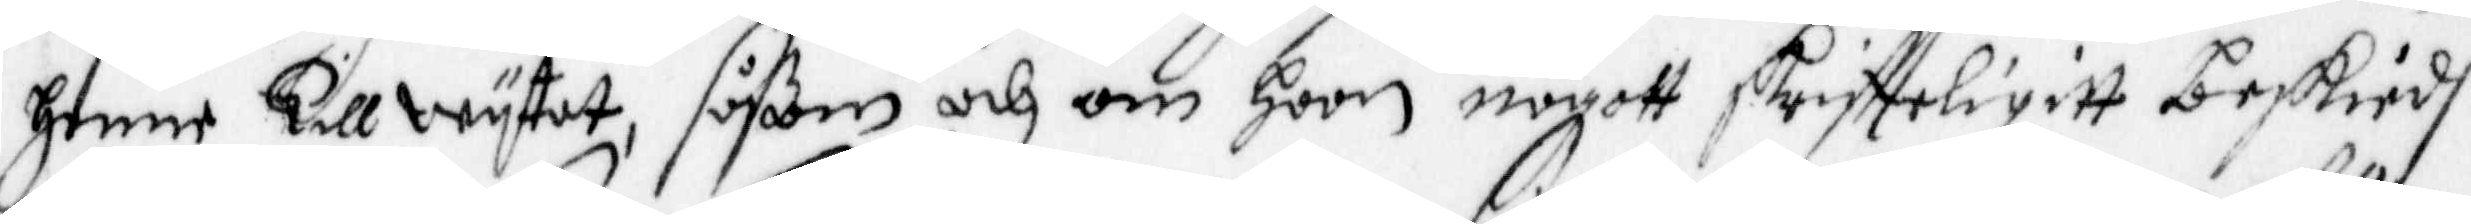Henne tillwytat, såßom och om hoon någott skriffteligitt beskiedt
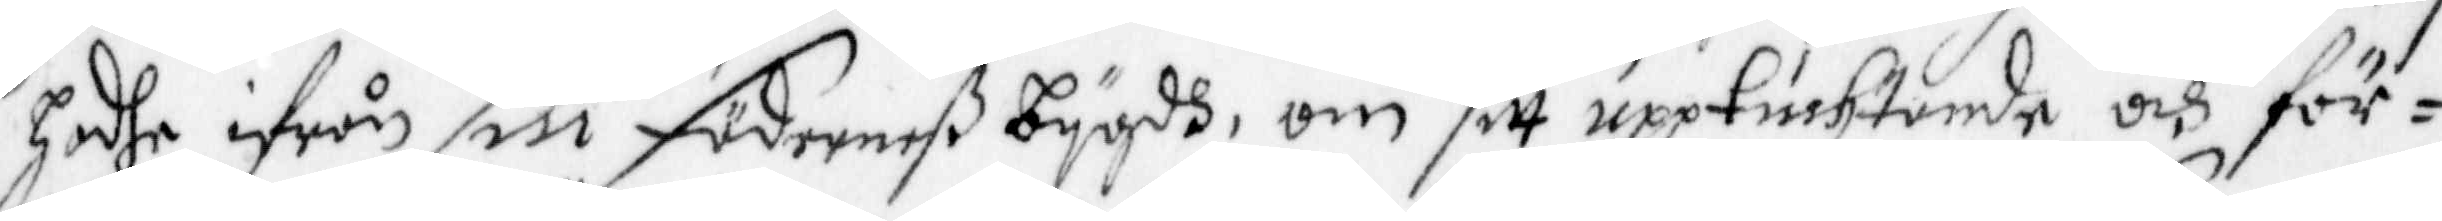hadhe ifrån sin föderneß bygdh, om sitt upptuchtande och för¬
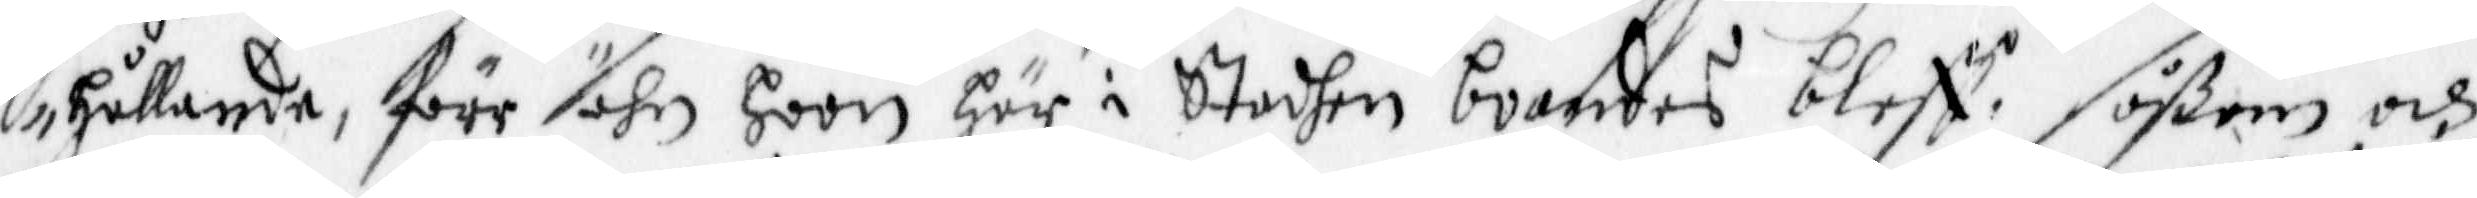hållande, förr ähn hoon Här i Staden boendes bleff, såßom och
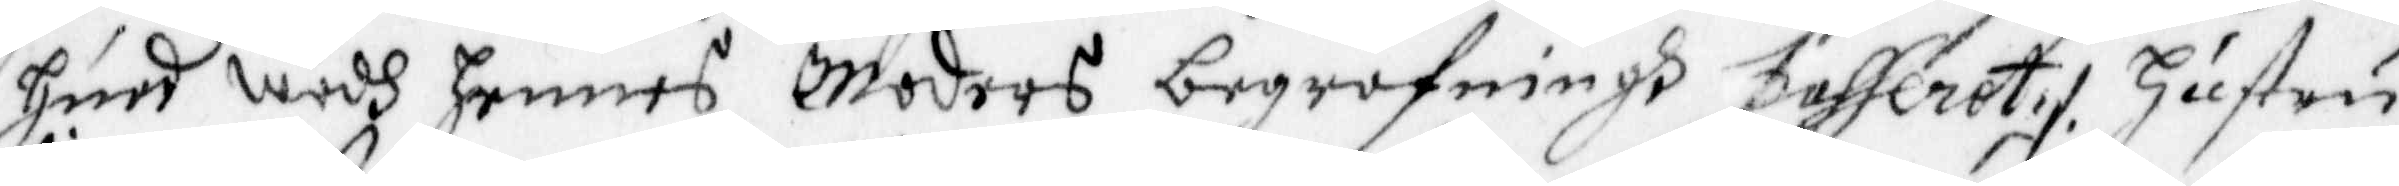Huad wedh hennes Moders begrafningh passerat ./. Hustru
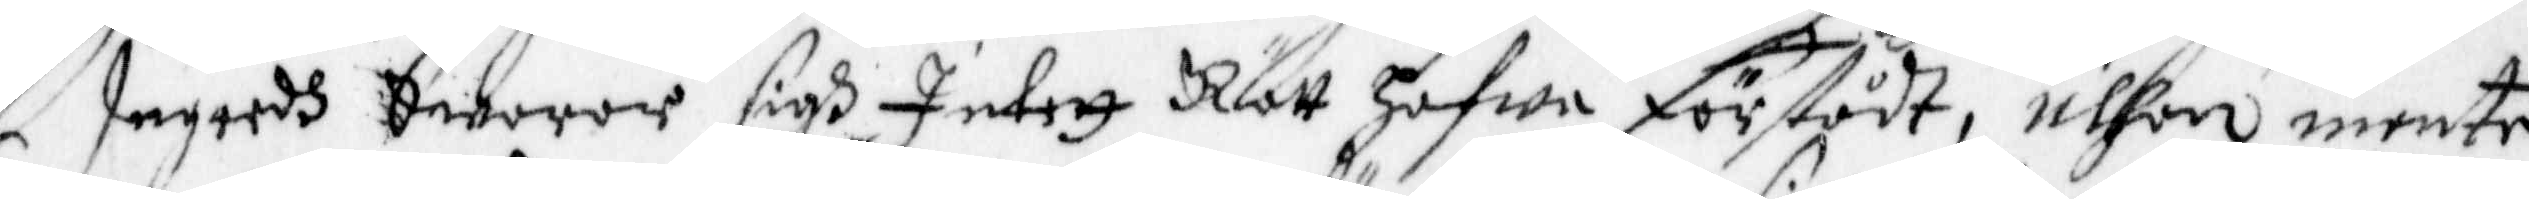Ingredh Swarar sigh Intet Rätt hafwa förstådt, uthan mente
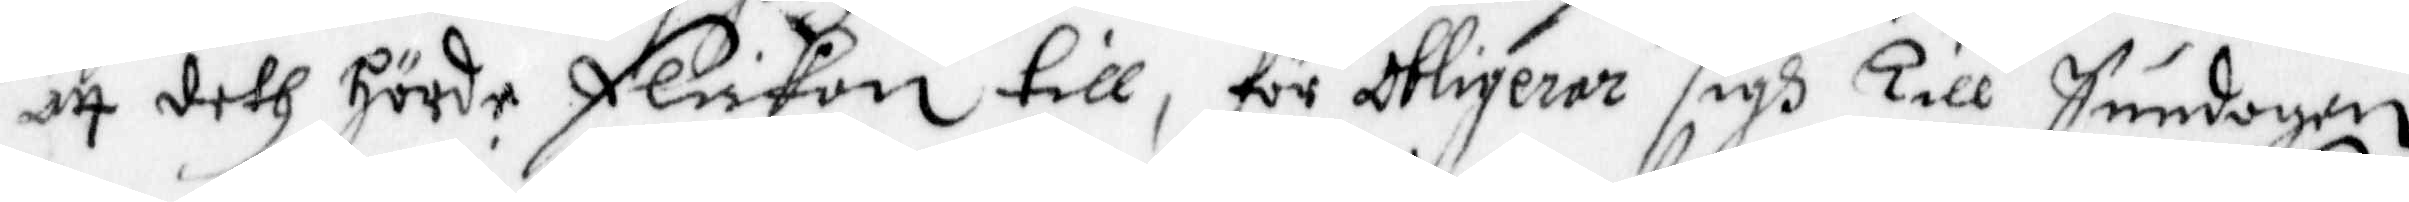att deth hörde Flickan till, för obligerar sigh Till Söndagen
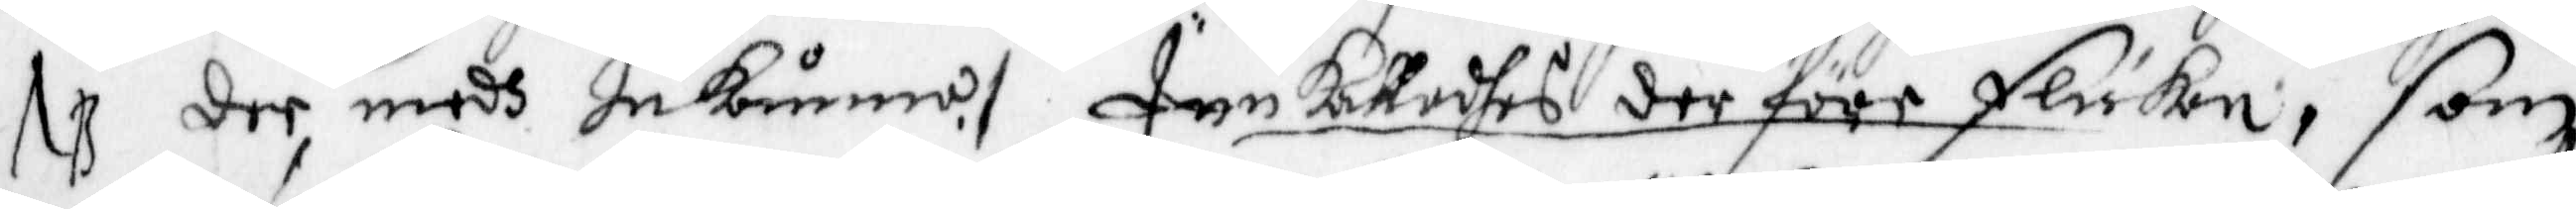NB der medh Inkomma./ Inn kalladhes der före Flickan, som
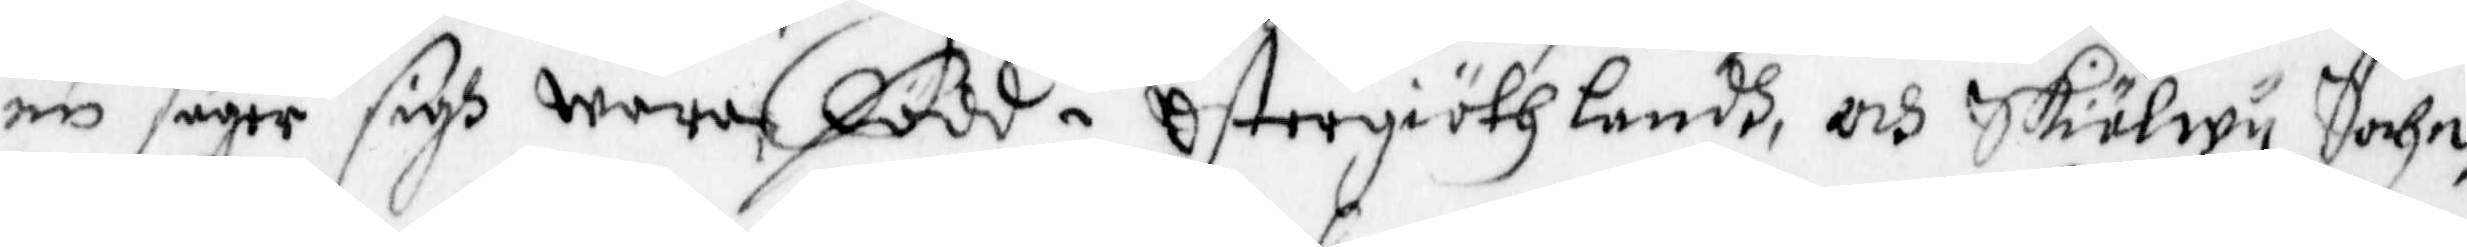nu säger sigh wara född, Ötergiöthlandh, och Skälwy Sochn
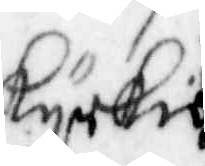kyrkio
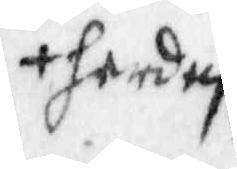herden
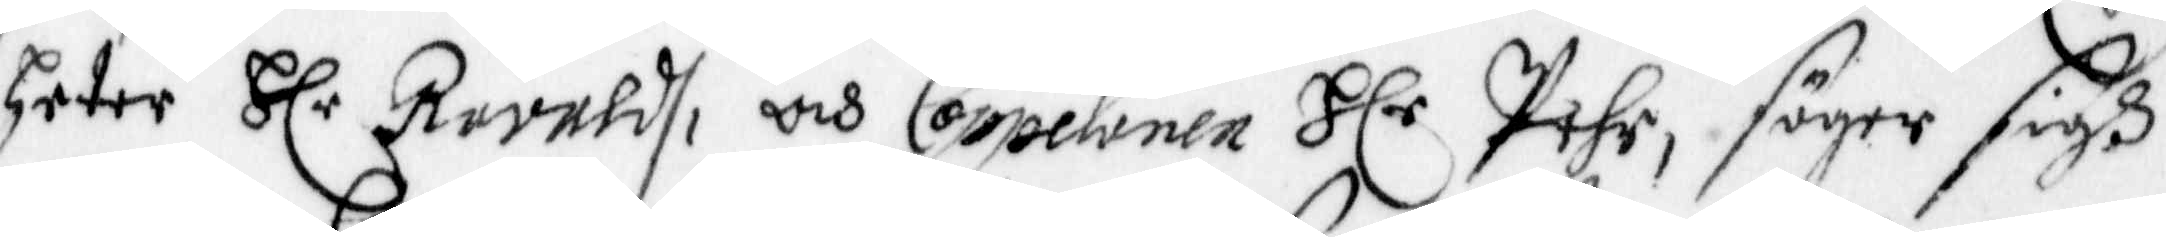heter Hlr Ravelds, och Cappelenen Hl.r Pehr, säger sigh
